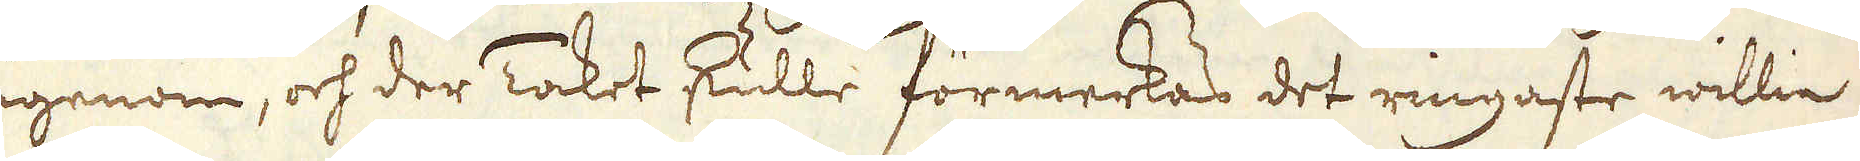igenom, och der Taket skulle förmerkas det ringaste willia
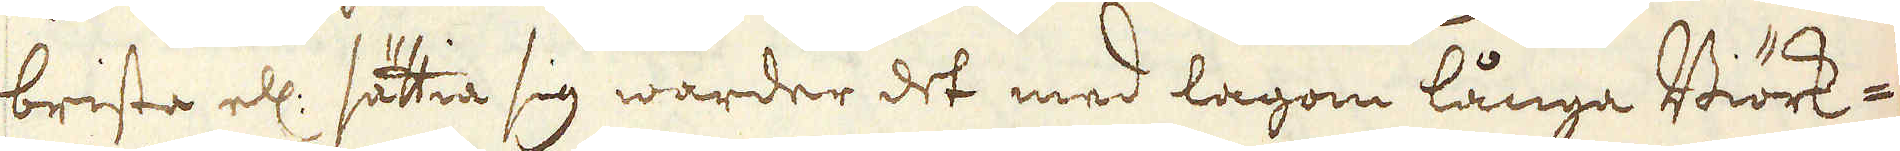brista ell: sättia sig warder det med lagom långa Biörk-
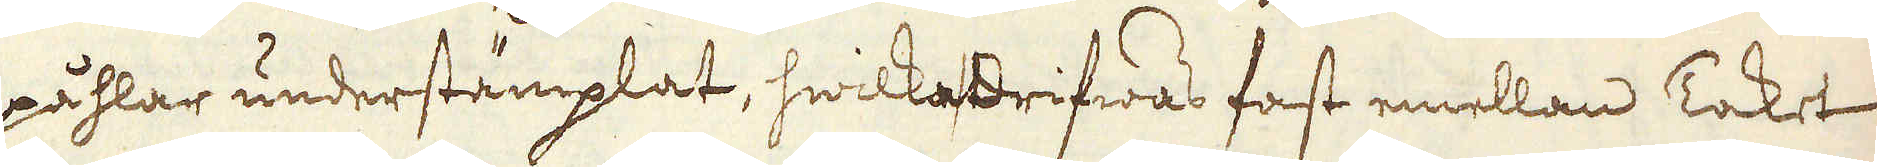påhlar understämplat, hwilka drifwas fast emellan Taket
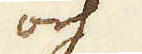och
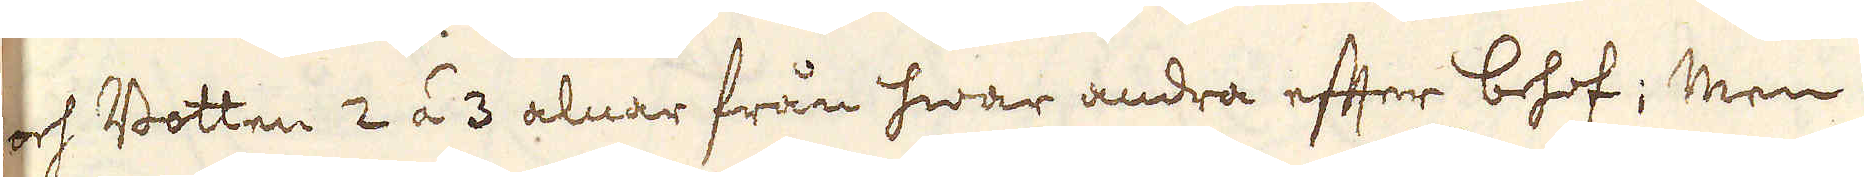och Botten 2 á 3 alnar från hwar andra efter behof; Men
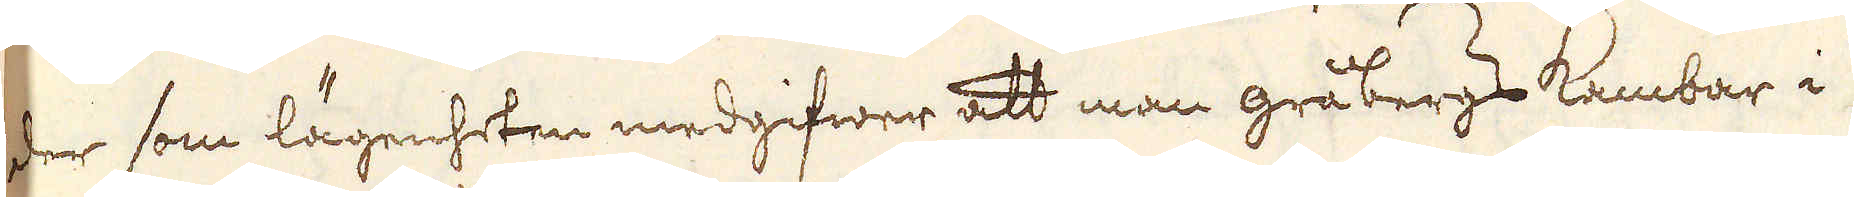der som lägenheten medgifwer att man gråbergs Kambar i
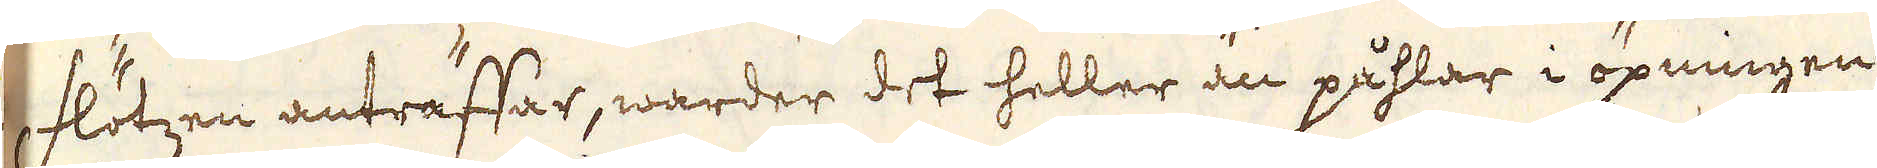Flötzen anträffar, warder det heller än påhlar i öpningen
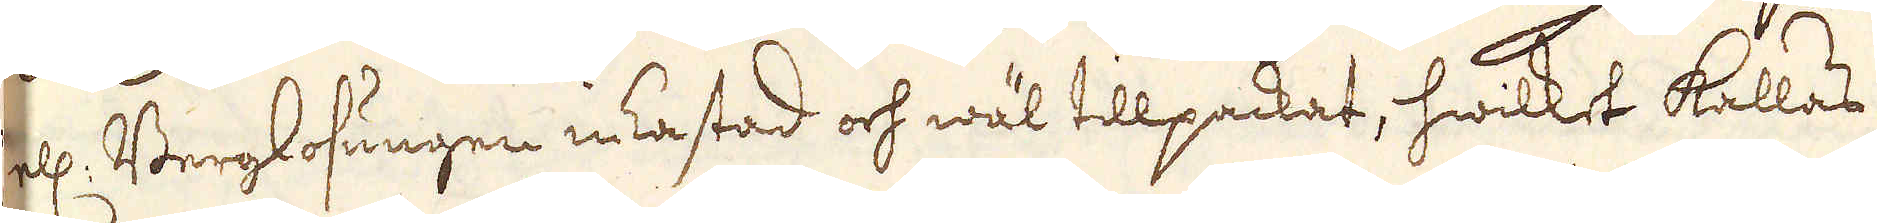ell: Berglosungen ikastad och wäl tillpackat, hwilket kallas
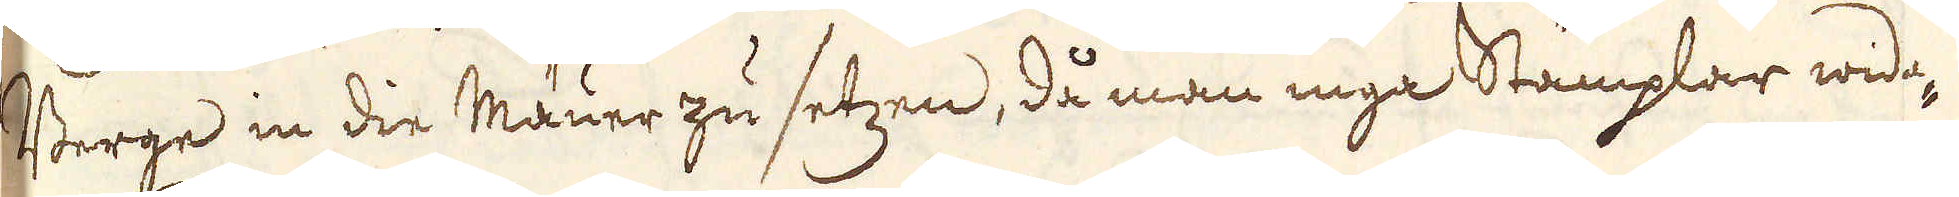Berge in die Mäuer zu setzen, då man inga Stämplar wida-
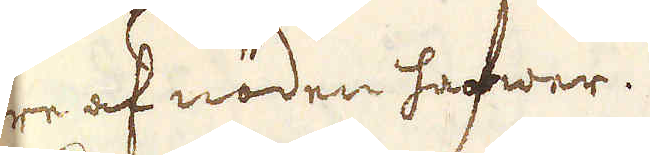re af nöden hafwer.
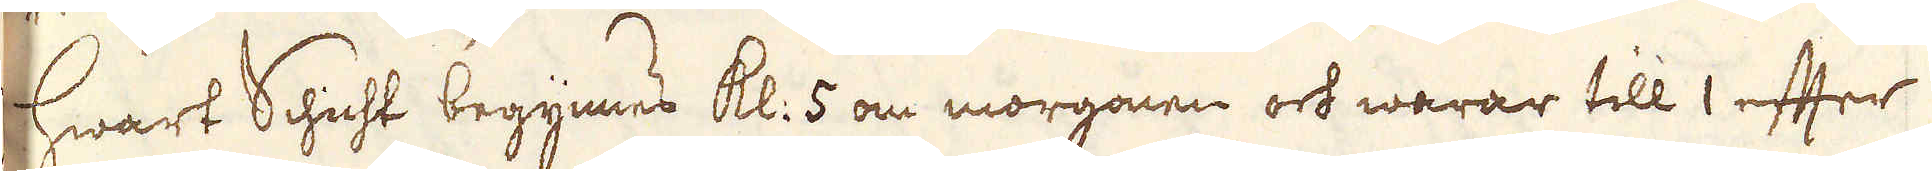Hwart Schicht begynnes kl: 5 om morgonen och warar till 1 efter
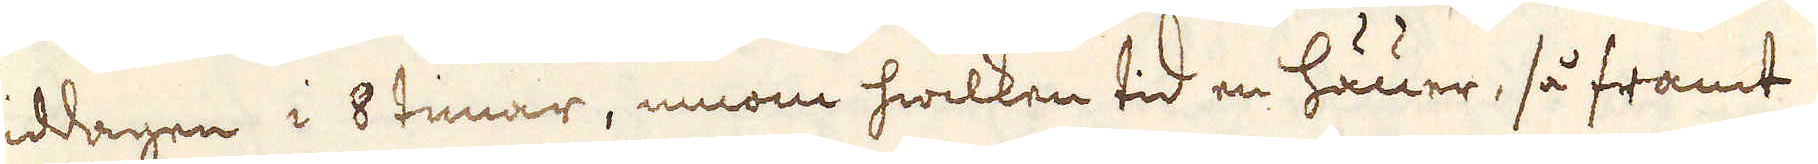middagen i 8 timar, innom hwilken tid en häuer, så framt
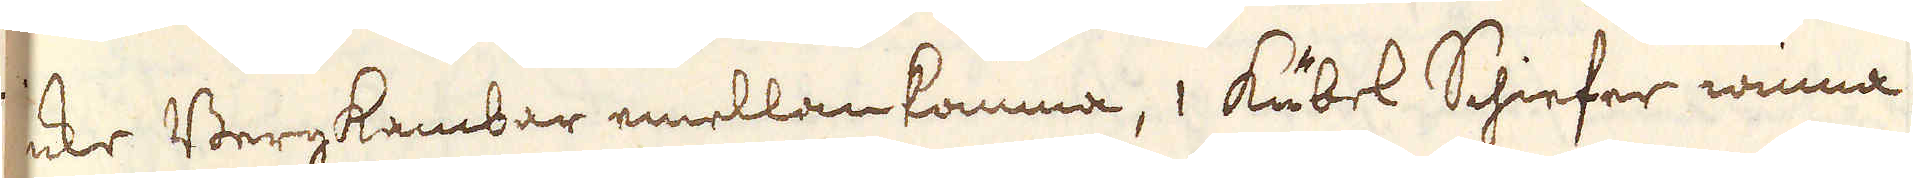icke Bergkambar emellan komma, 1 Kubel Schiefer winna
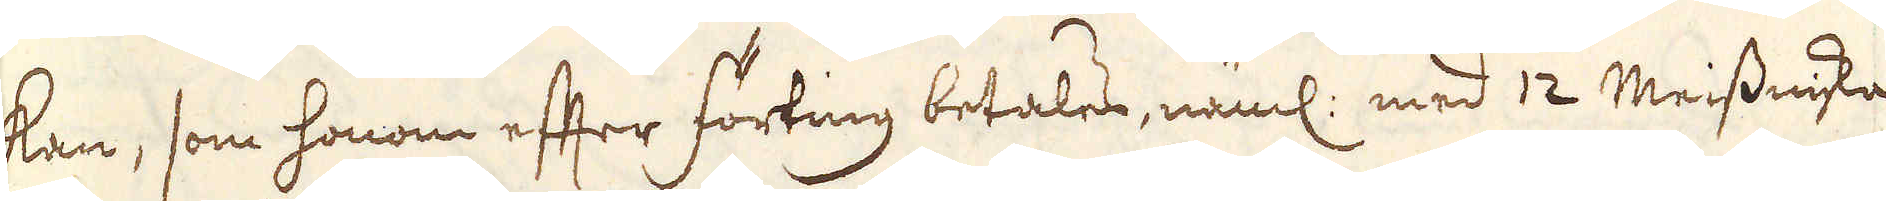kan, som honom efter förting betales, näml: med 12 Meissniska
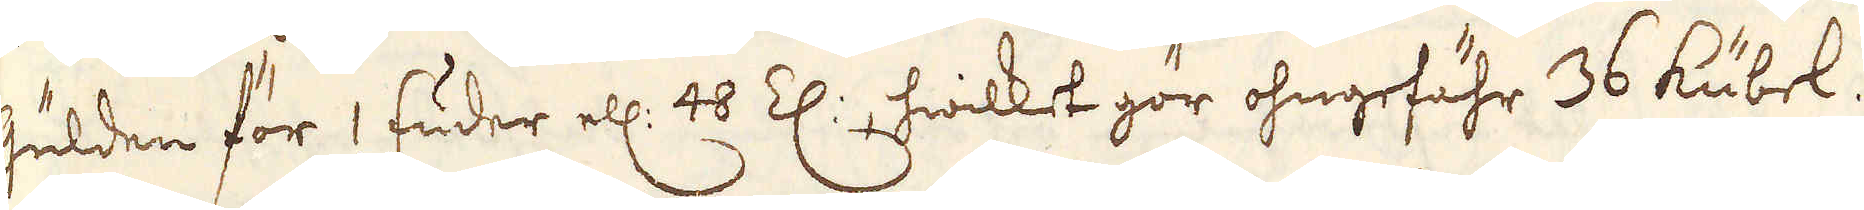Gulden för 1 Fuder ell: 48 Z:, hwilket gör ohngefähr 36 kubel.
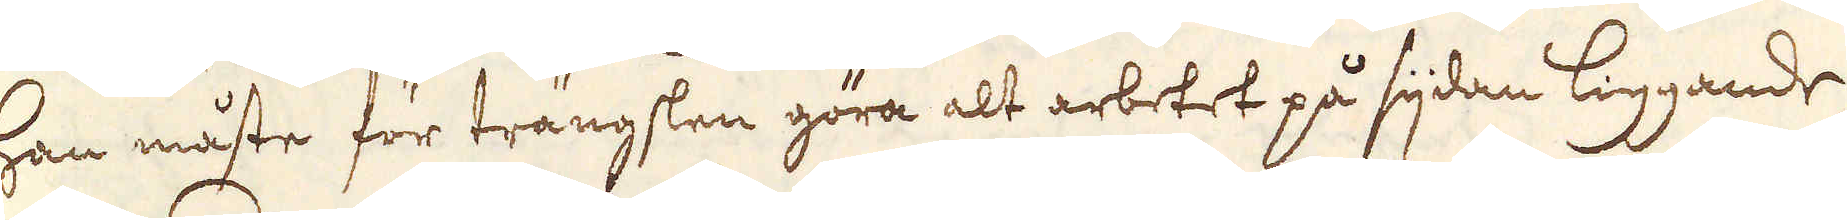Han måste för trängslen göra alt arbetet på sijdan liggande,
